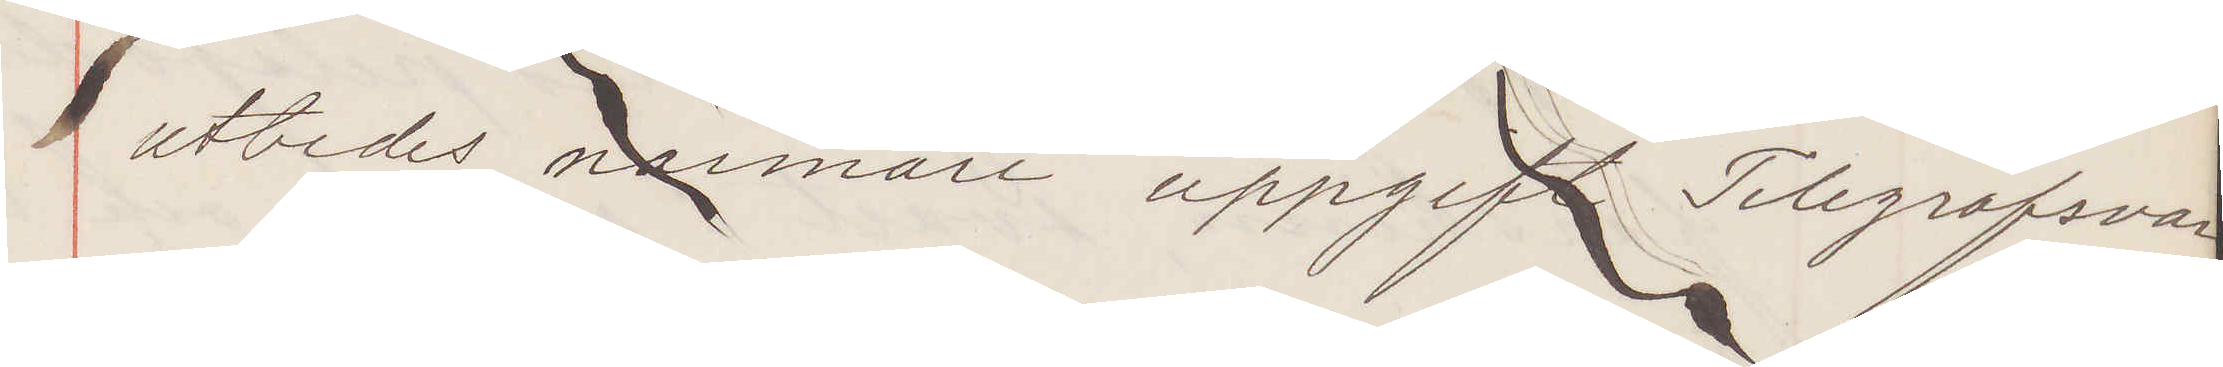utbedes närmare uppgift Telegrafsvar
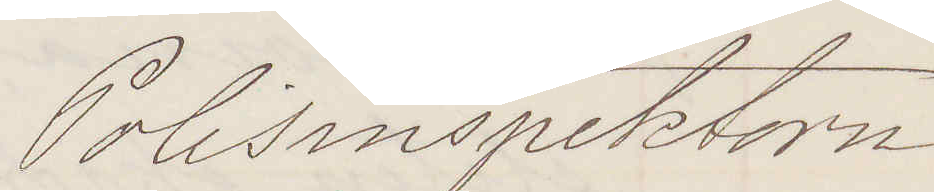Polisinspektorn
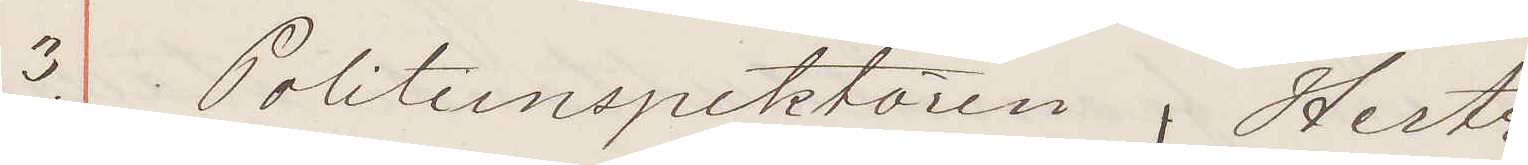3. Politiinspektören Hertz
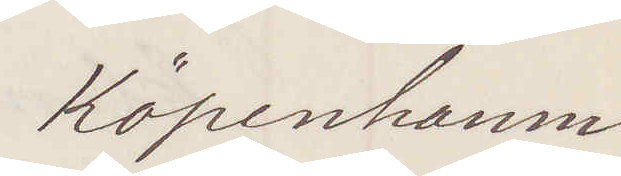Köpenhamn
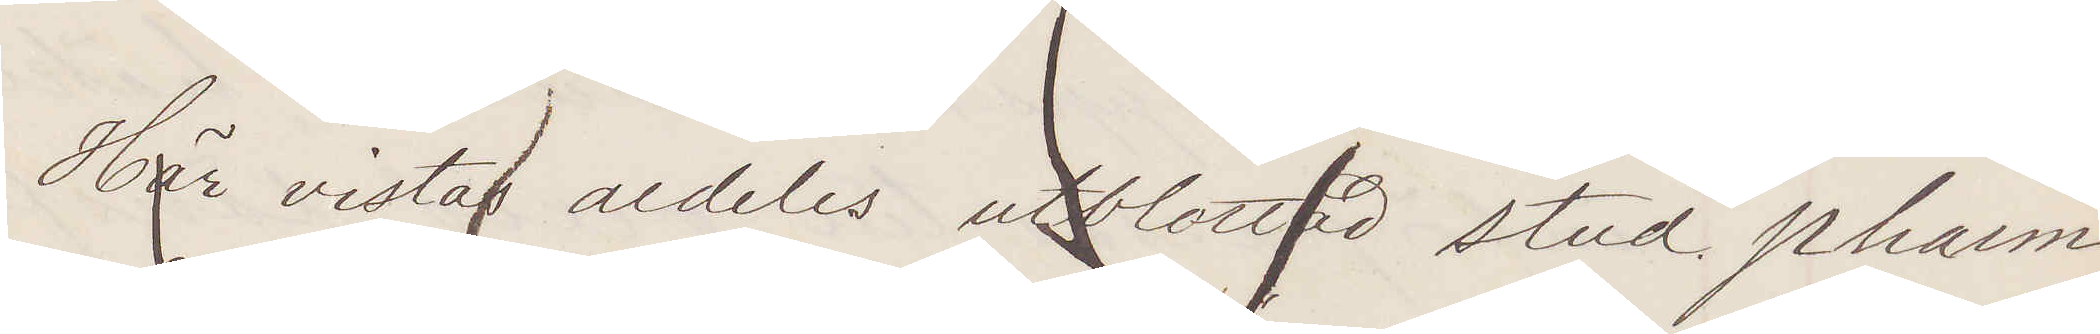Här vistas aldeles utblottad stud. pharm
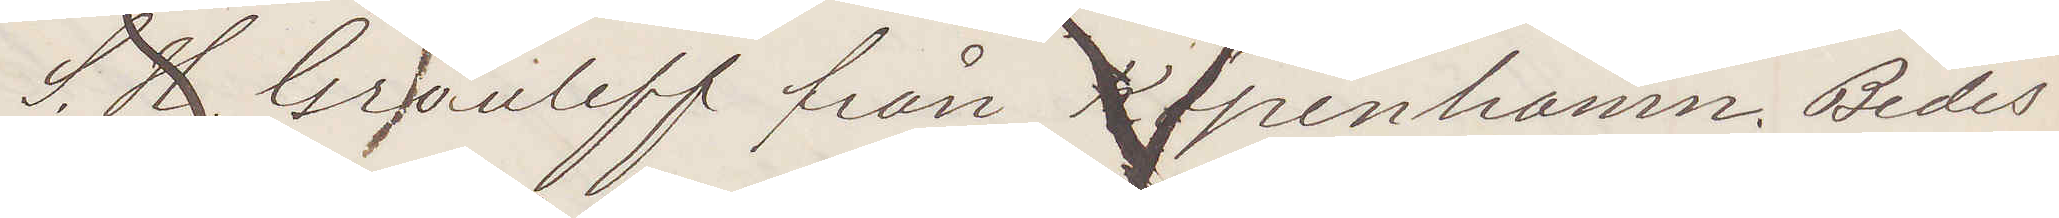S. H. Grouleff från Köpenhamn. Bedes
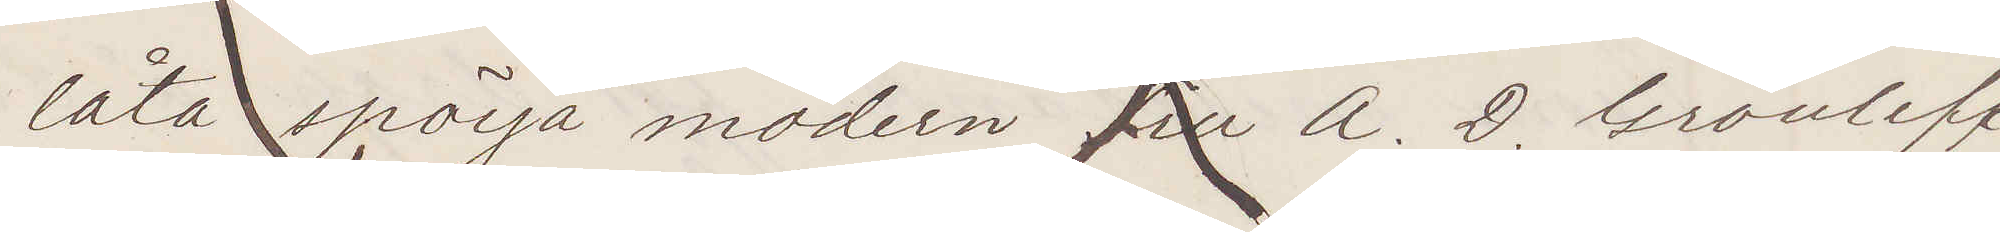låta spörja modern Fru A. D. Grouleff
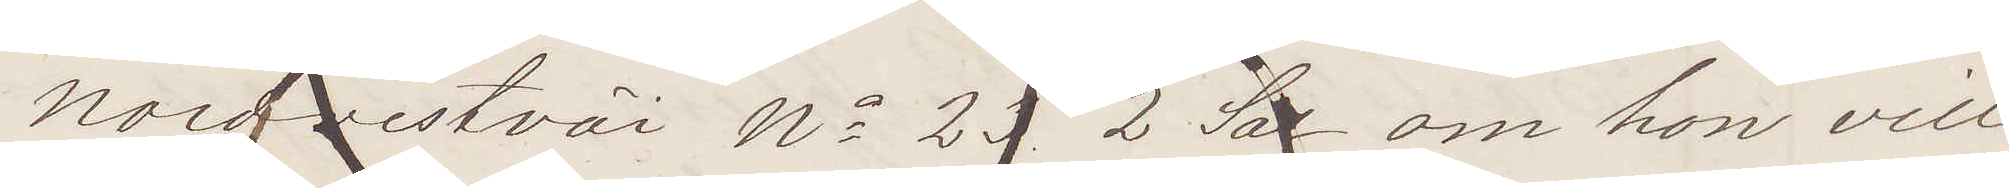Nordvestväi No 23 2 Sal om hon vill
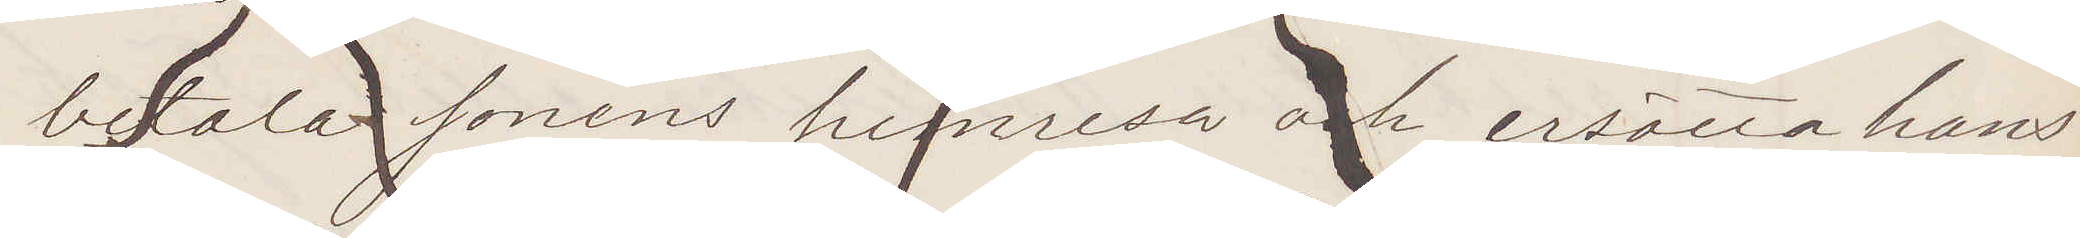betala sonens hemresa och ersätta hans
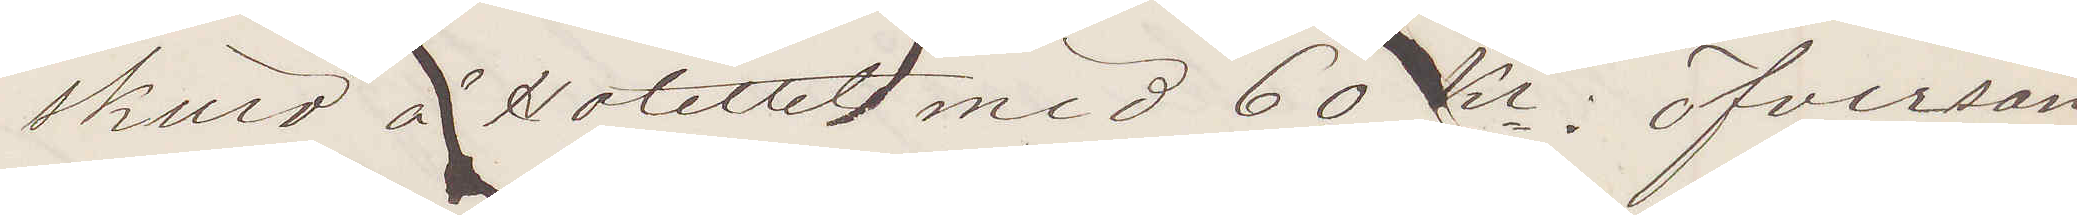skuld å Hotellet med 60 Kr; öfversän¬
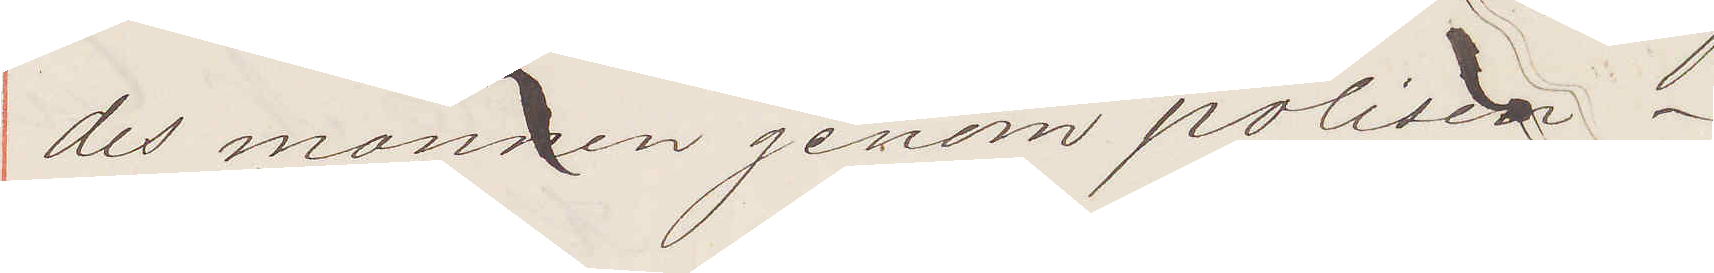des mannen genom polisen.
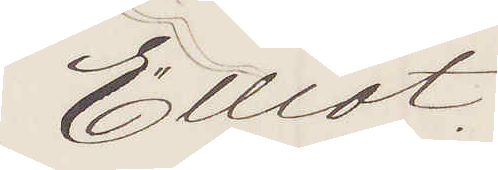Elliot.
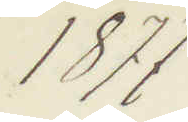1877
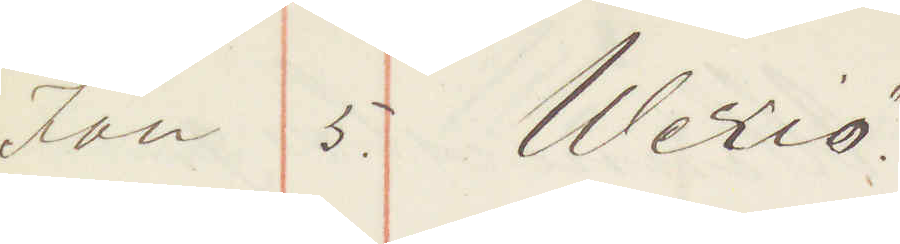Jan 5. Wexiö
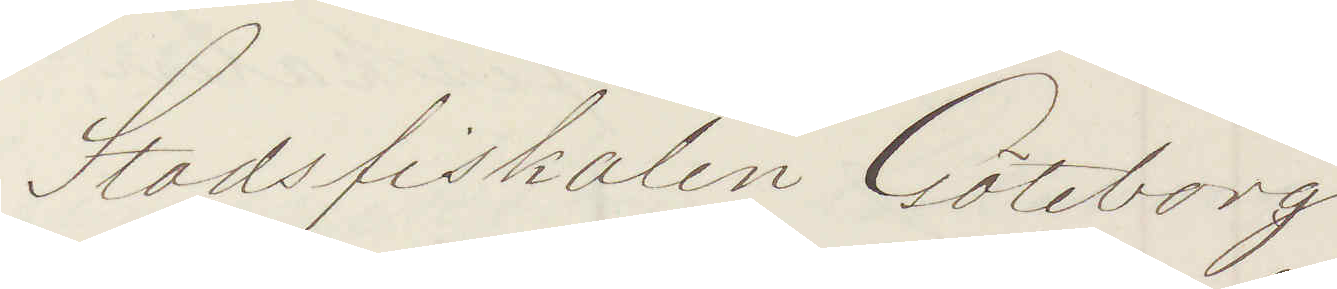Stadsfiskalen Göteborg
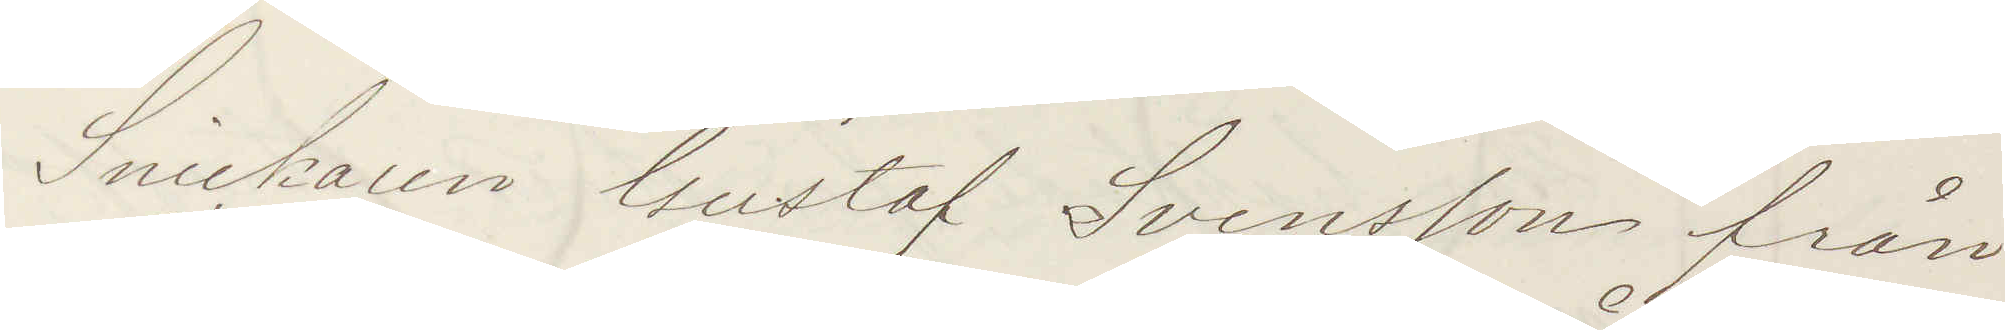Snickaren Gustaf Svensson från
